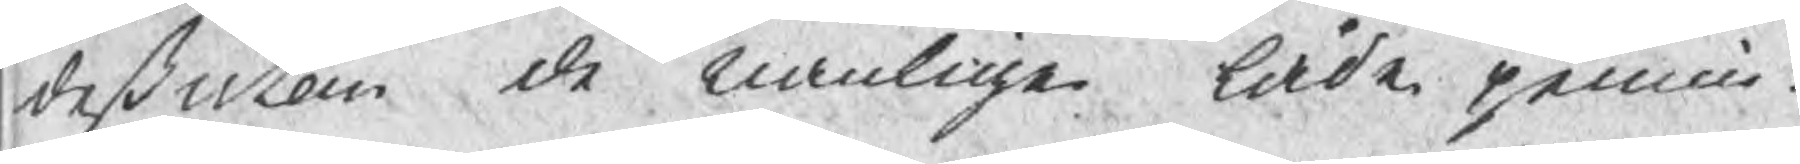deßutom de vanlige låde pennin¬
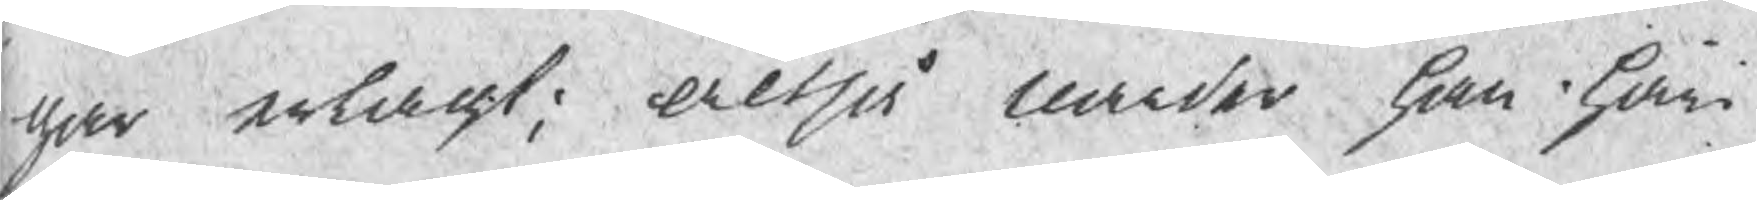gar erlagt; altså uarder ahn häri
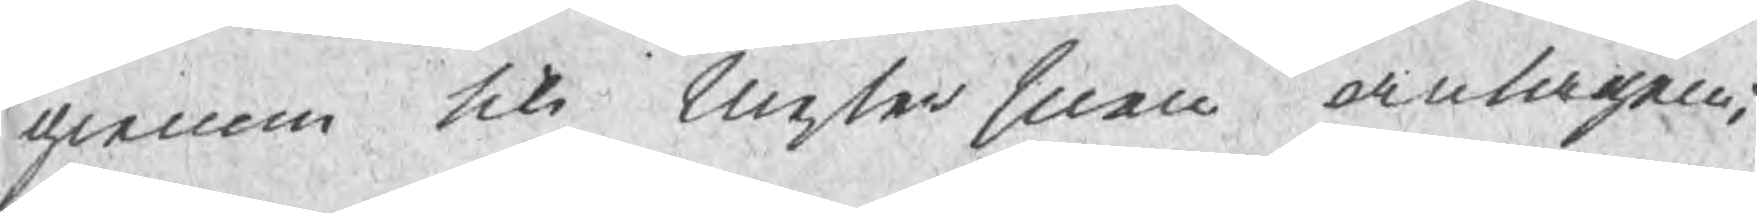genom till Mestersuen antagen;
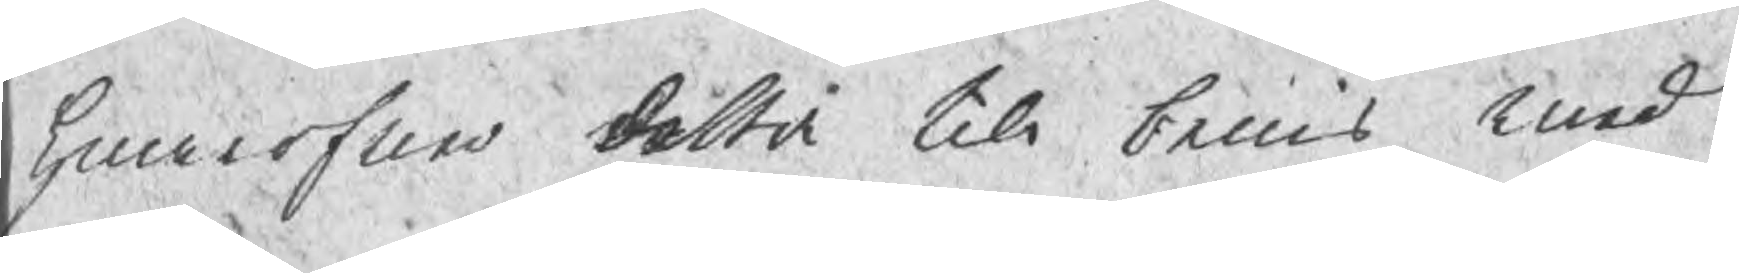Hwarfure detta till beuis med¬
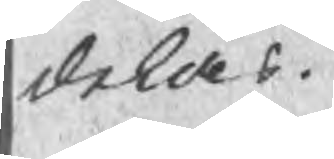delas.
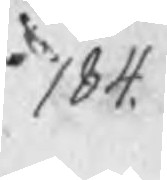184.
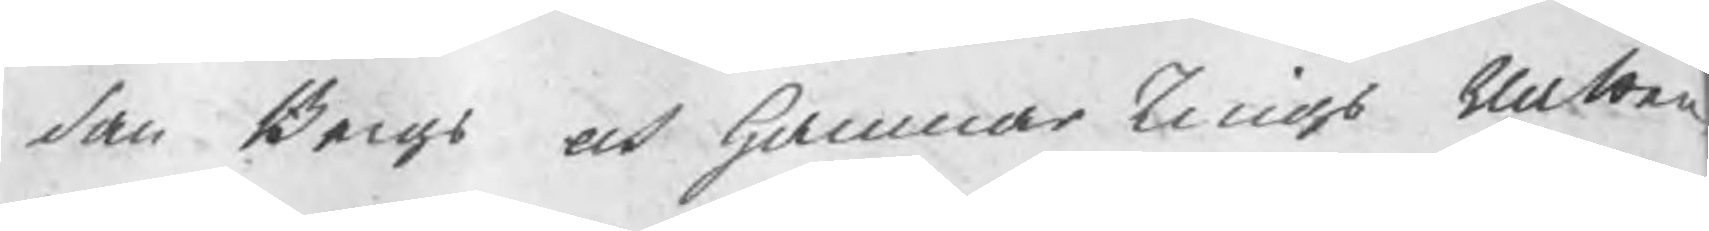den Bergs och Hammar Tings Ratten
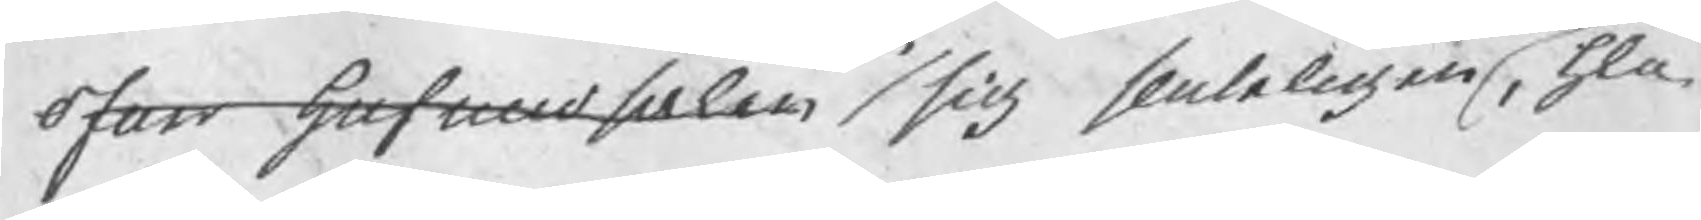ofuer hufudsaken sig sluteligen , hla.
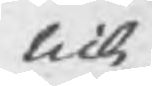till
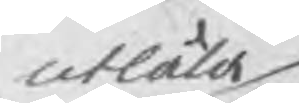utlåta
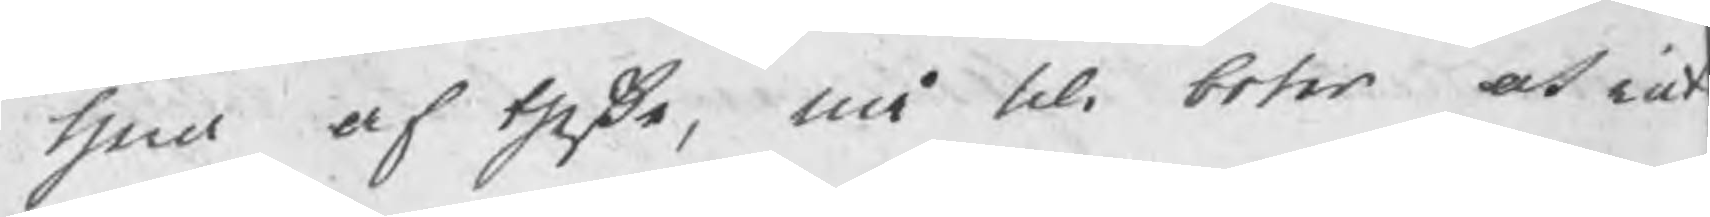hnd af theße, må till boter och rat¬
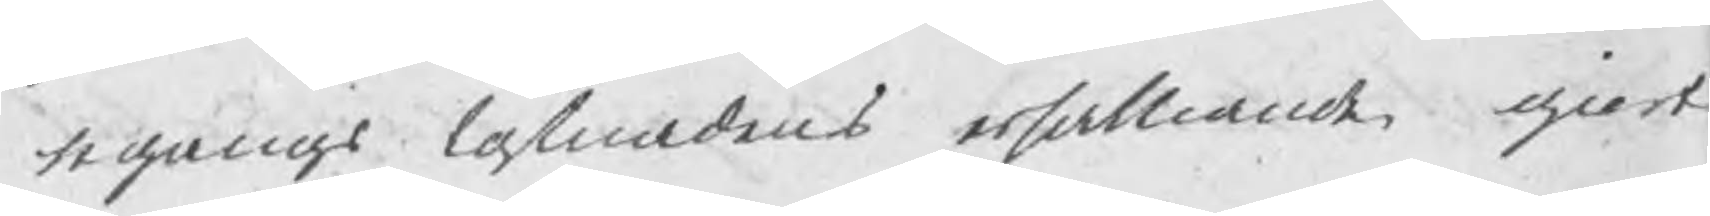tegangs kostnadens orsakande giort
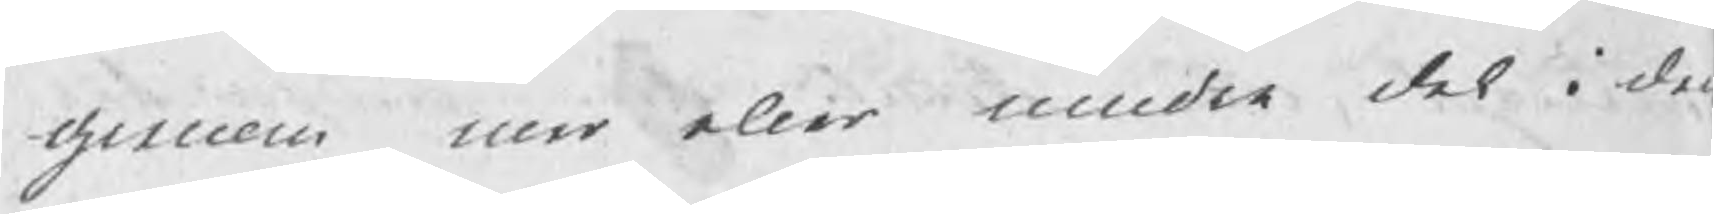genom mer eller mindre del i de
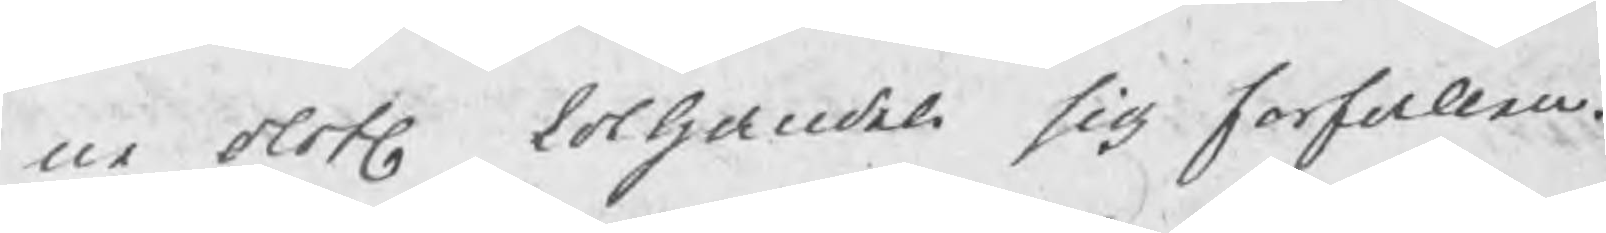ne olofl kolhandel sig forfallen.
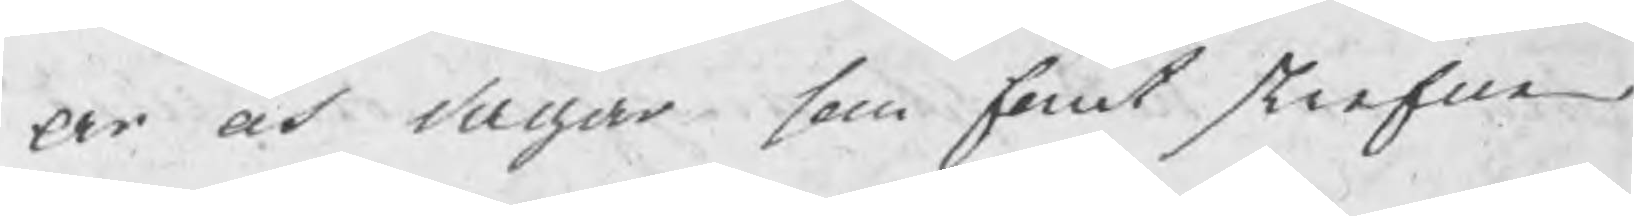Ar och dagar som fornt skrefne
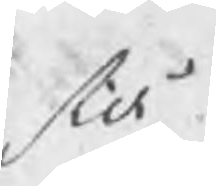stå
